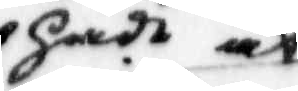hade at
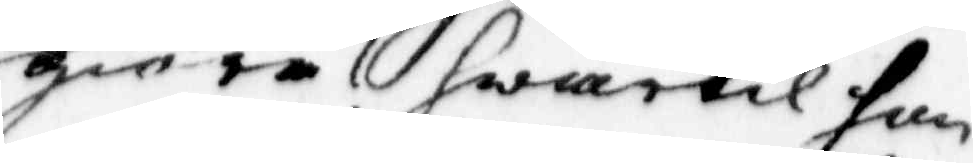giöra! hwartil hon
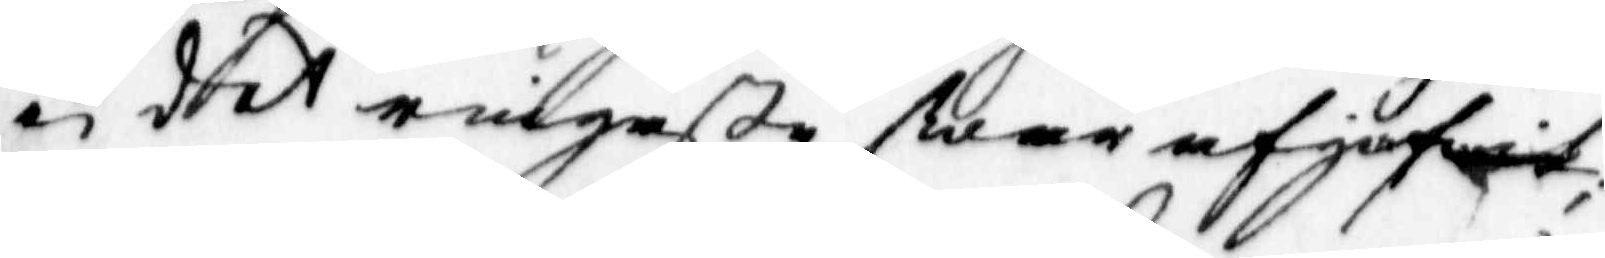ei det ringaste swar afgifwit;
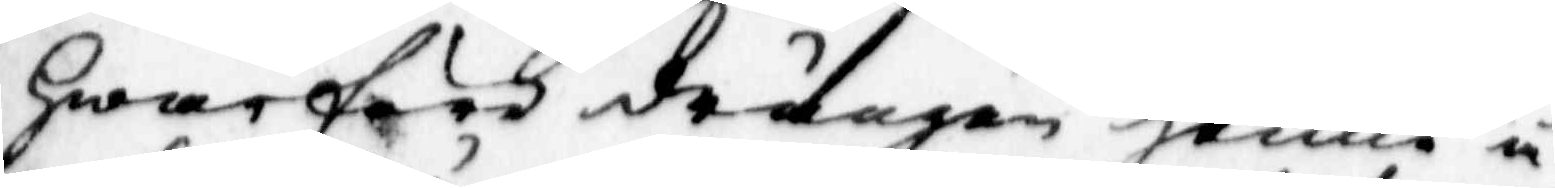hwarföre drängen henne å¬
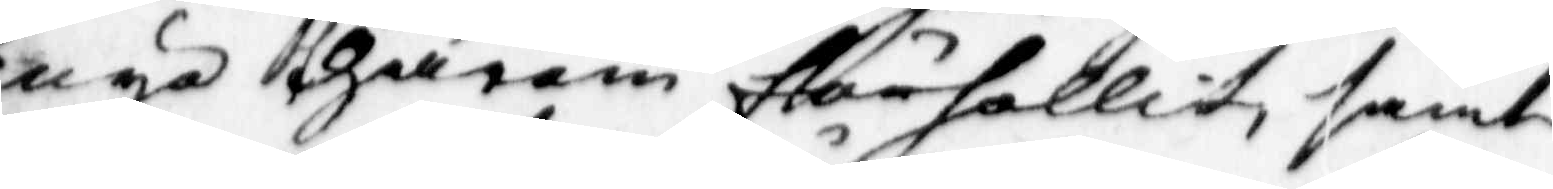nyo thärom förhollit, samt
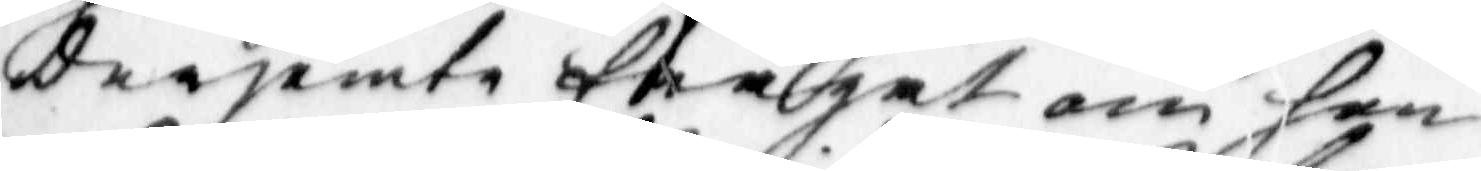derjemte frågat om hon
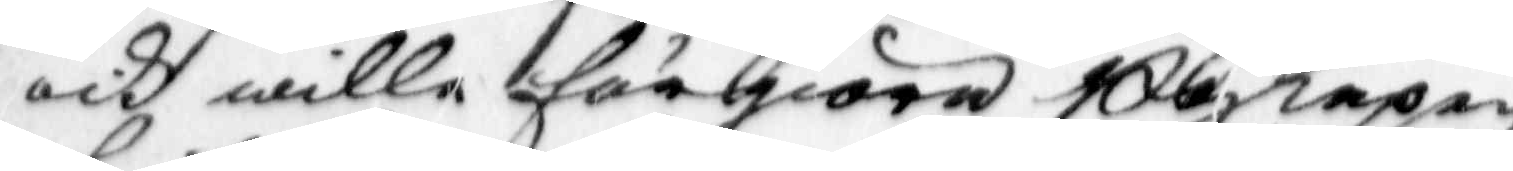och wille förgiora Boskapen
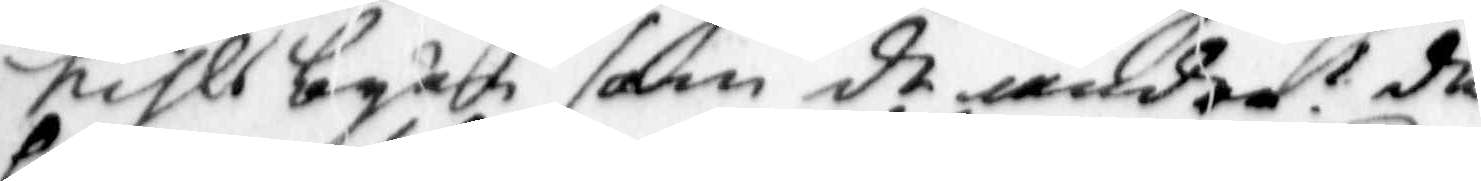kihls byån som de andra? då
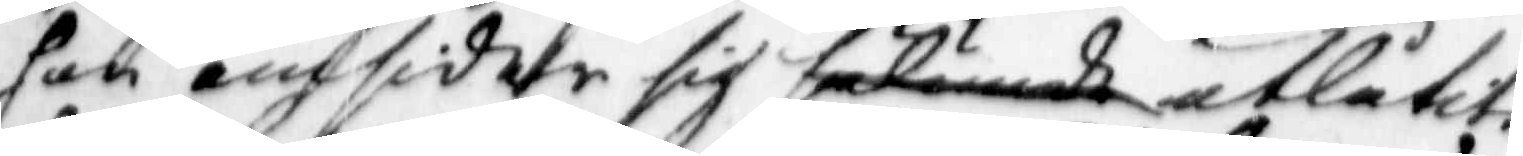hon omsider sig sålunda utlåtit,
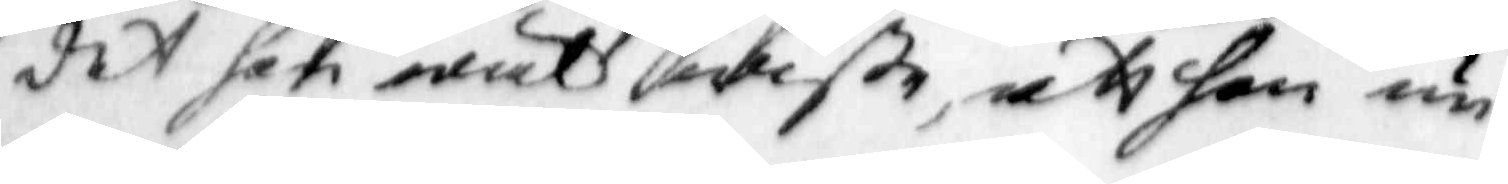det hon wäl wiste, att han un
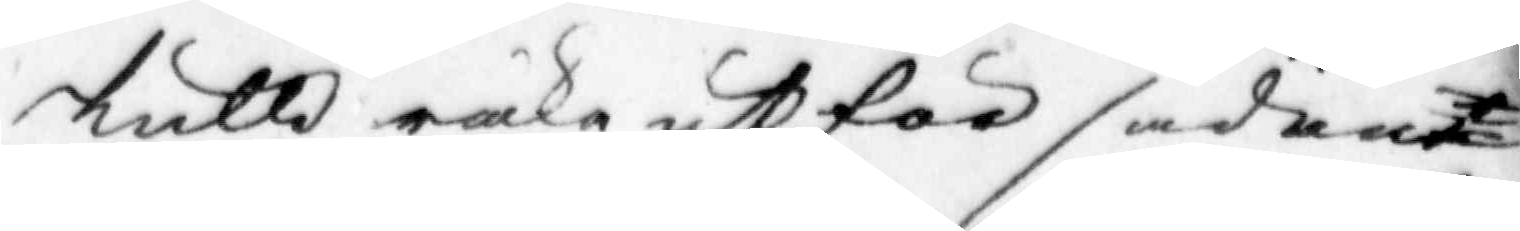skulld räka utför sådan 
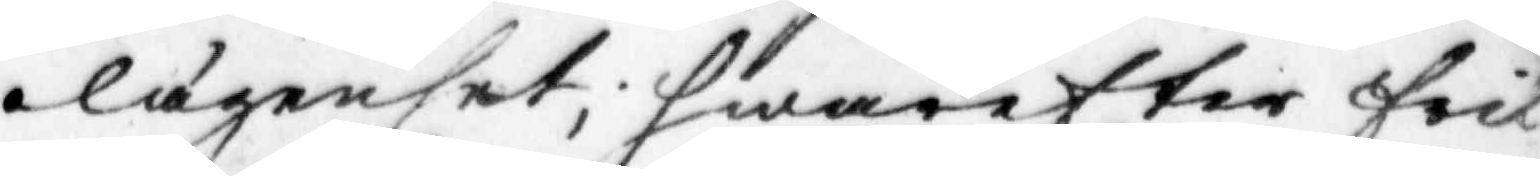olägenhet; hwarefter fick
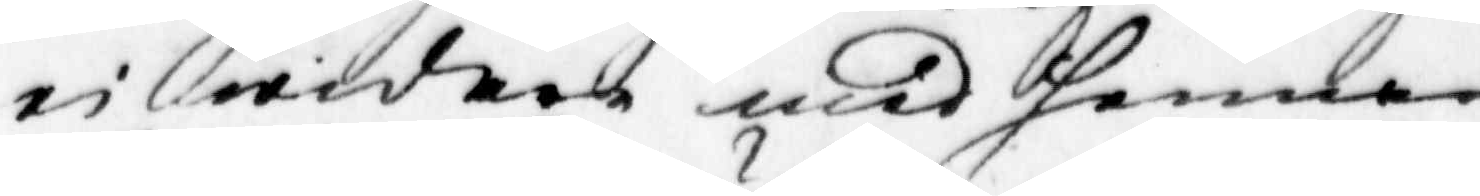ei widare med henne
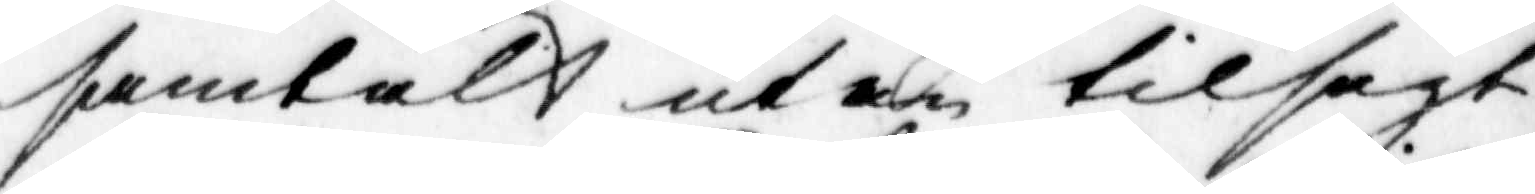samtalt utan tilsagt
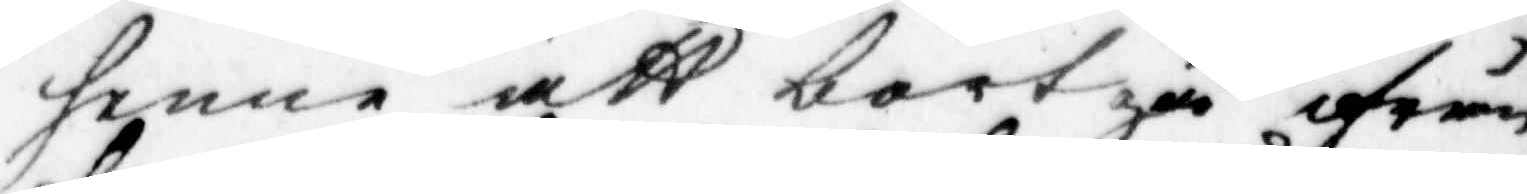henne, att bortgå ifrån
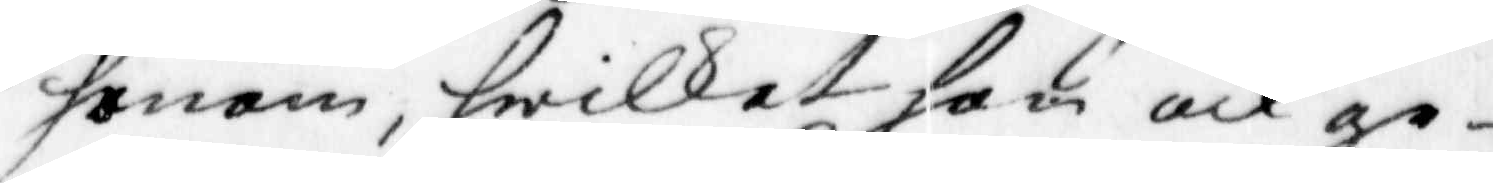honom, hwilket hon och ge¬
